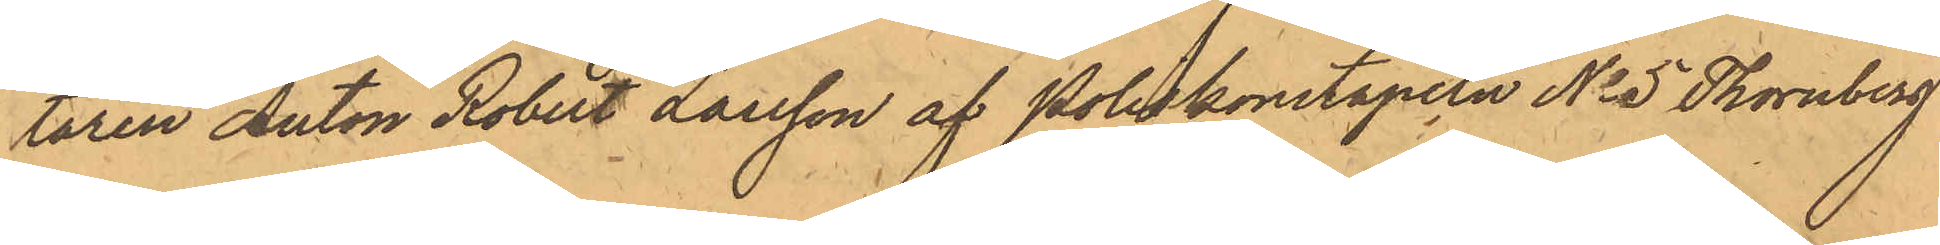taren Anton Robert Larsson af Poliskonstapeln No 5 Thornberg
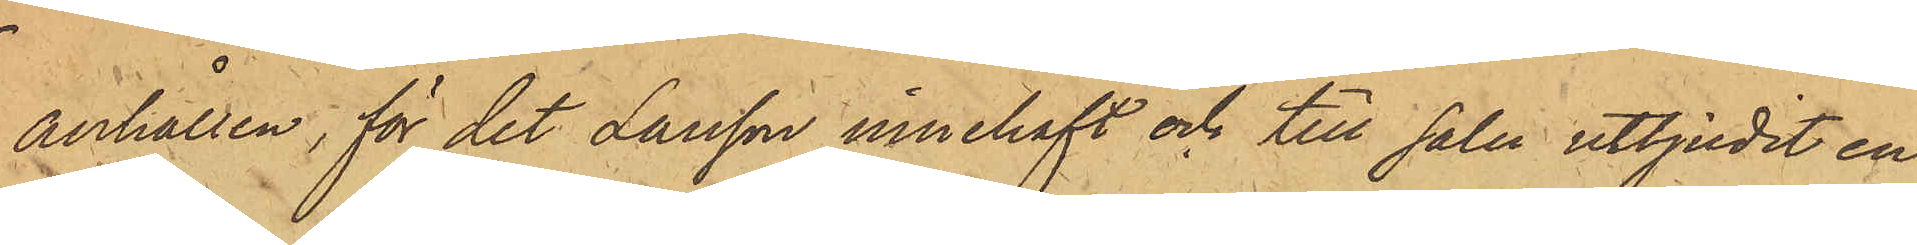anhållen, för det Larsson innehaft och till salu utbjudit en
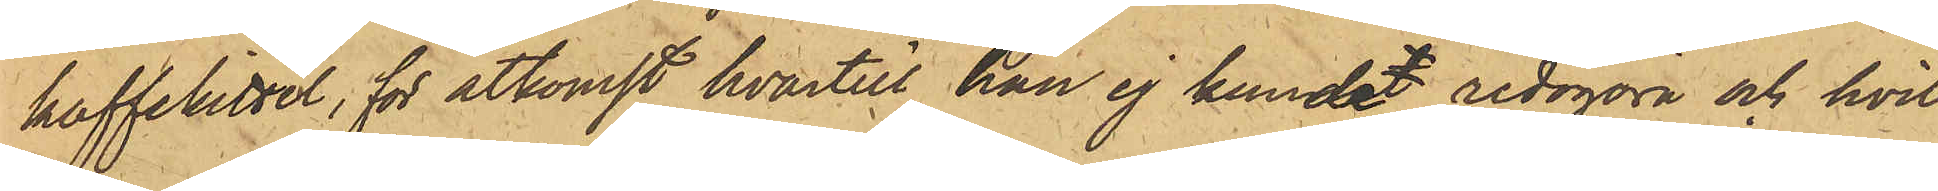kaffelittel, för åtkomst hvartill han ej kundet redogöra och hvil¬
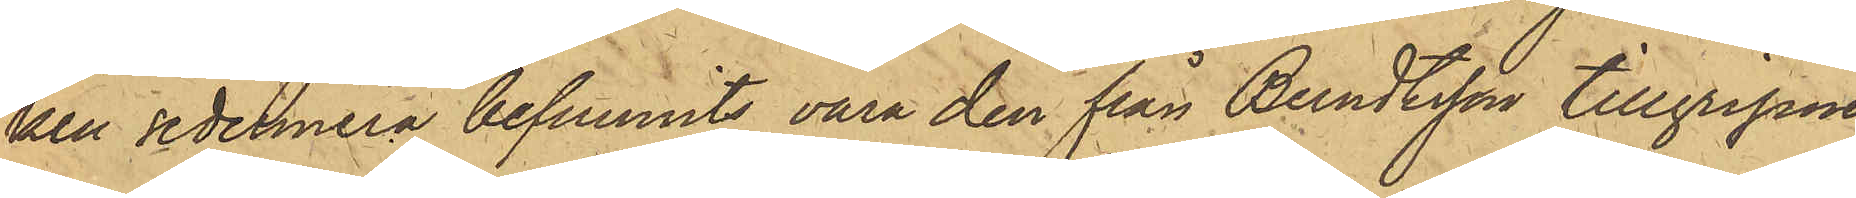ken sedermera befunnits vara den från Berndtsson tillgripne
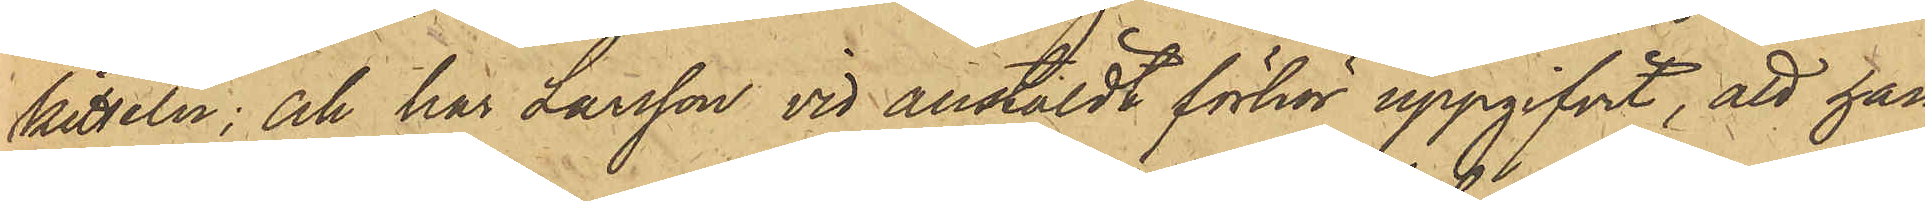kitteln; och har Larsson vid anstäldt förhör uppgifvit, att han
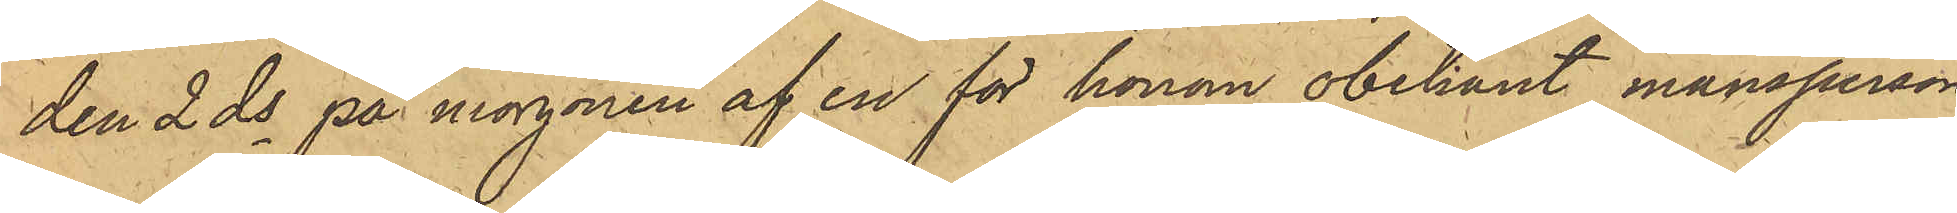den 2 ds på morgonen af en för honom obekant mansperson
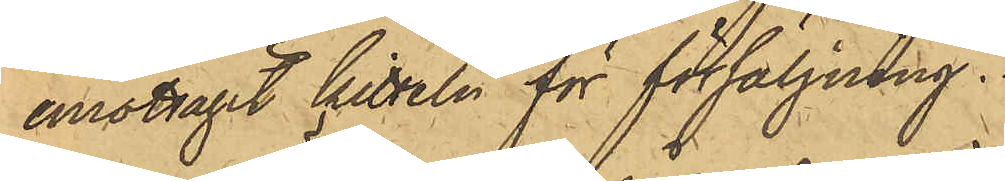emottagit kitteln för försäljning.
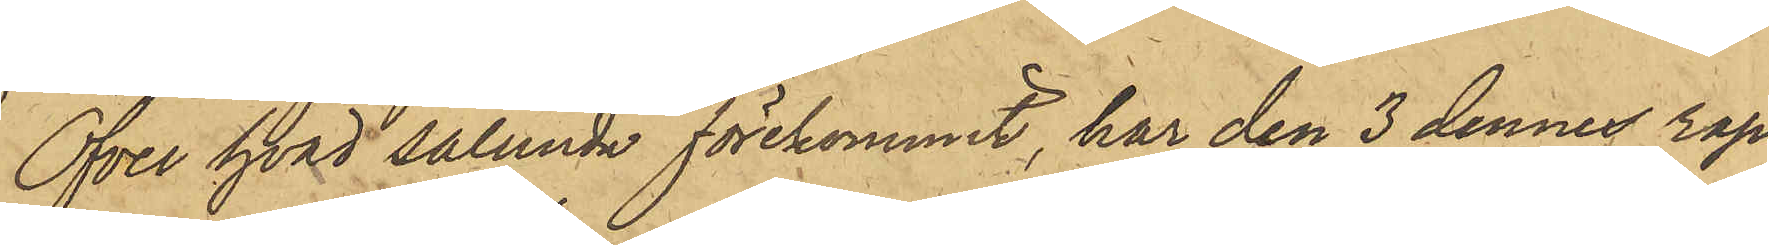Öfver hvad sålunda förekommit, har den 3 dennes rap¬
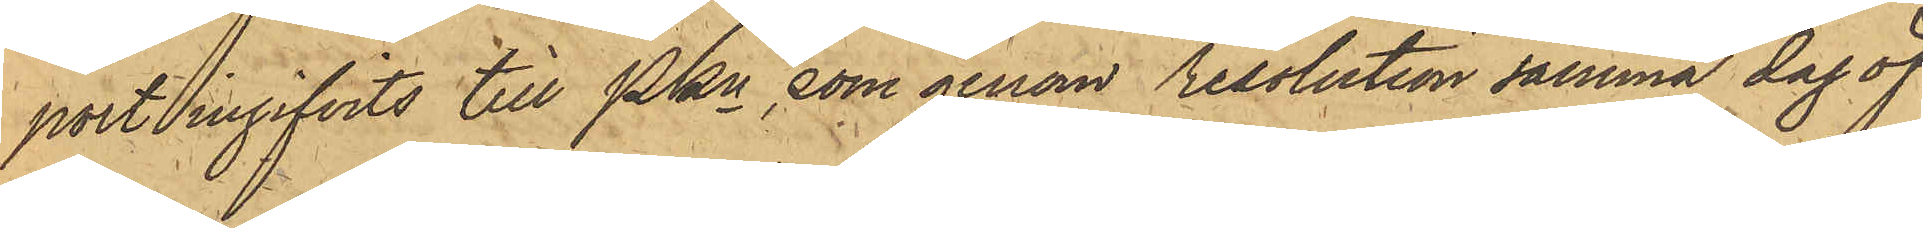port ingifvits till PKn, som genom reslotion samma dag öf¬
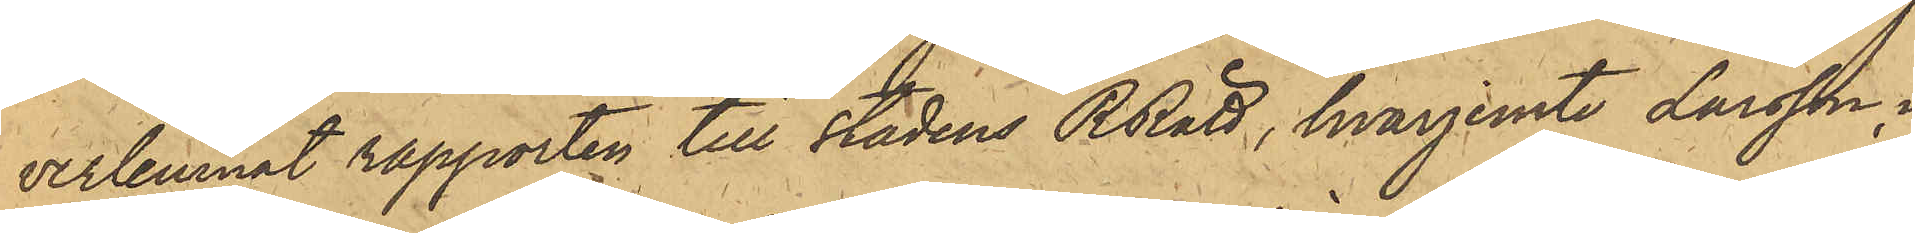verlemnat rapporten till stadens RRätt, hvarjemte Larsson i
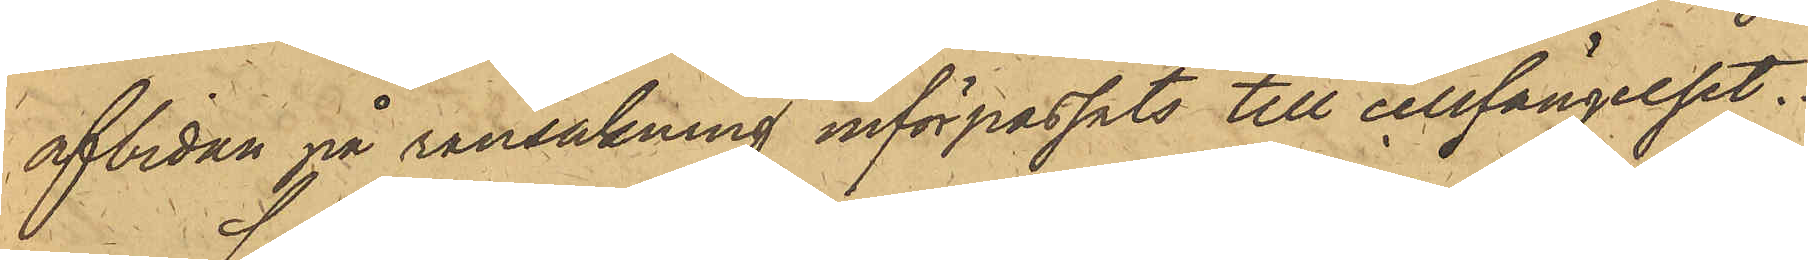afbidan på ransakning införpassats till cellfängelset.
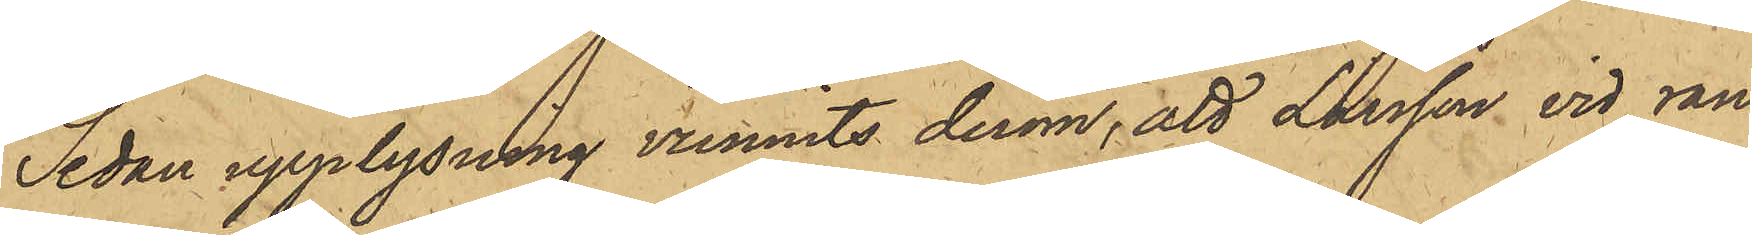Sedan upplysning vunnits derom; att Larsson vid ran¬
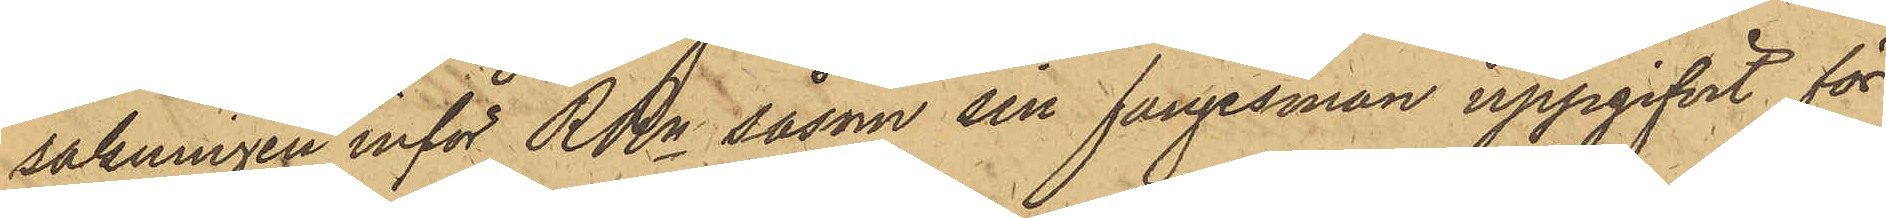sakningen inför RRn såsom sin fångesman uppgifvit för
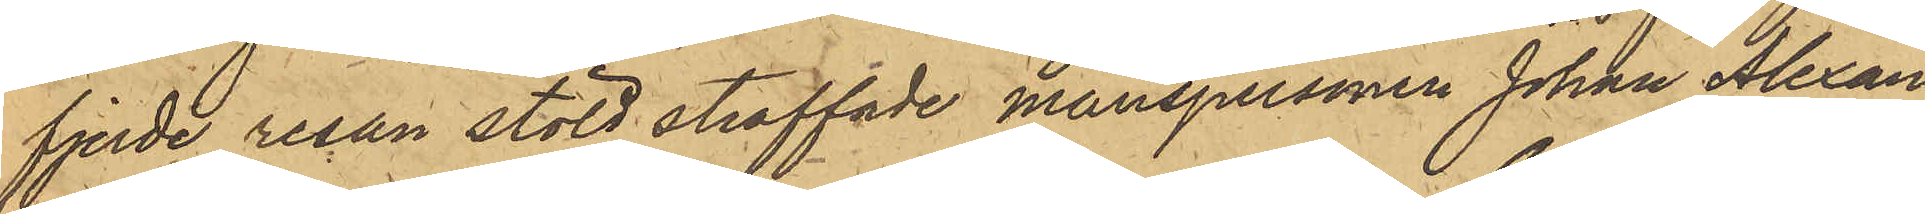fjerde resan stöld straffade manspersonen Johan Alexan¬
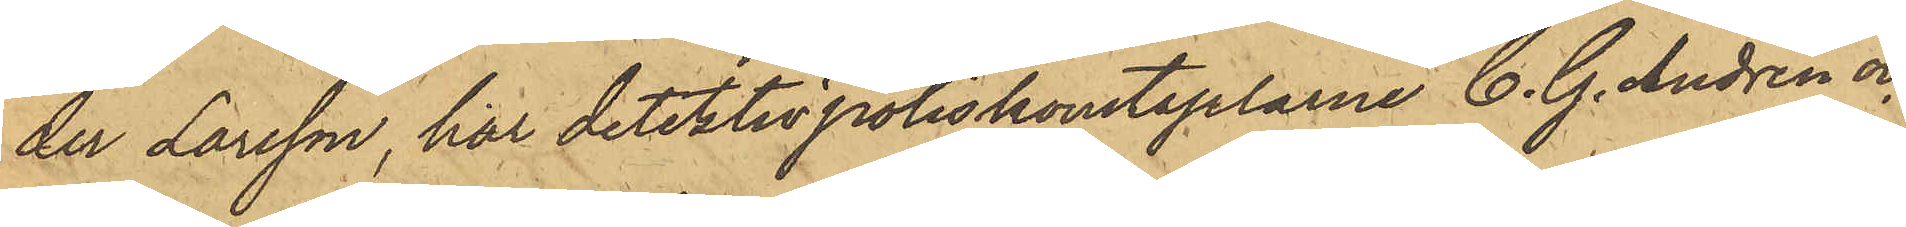der Larsson har detektivpoliskonstaplarne C. G. Andren och
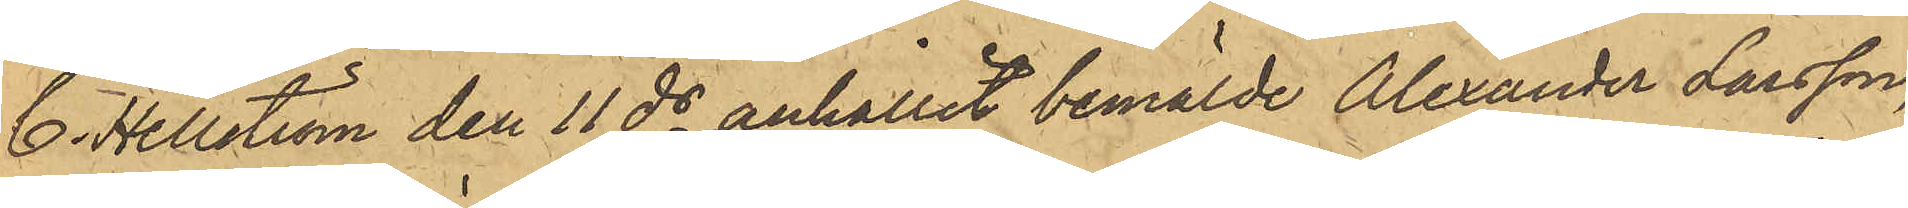C. Hellström den 11 ds anhållit bemälde Alexander Larsson,
